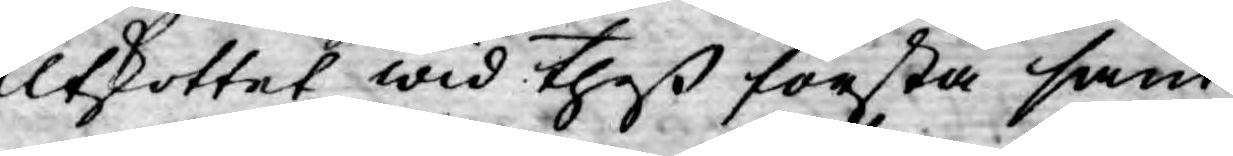Utskottet wid theß första sam¬
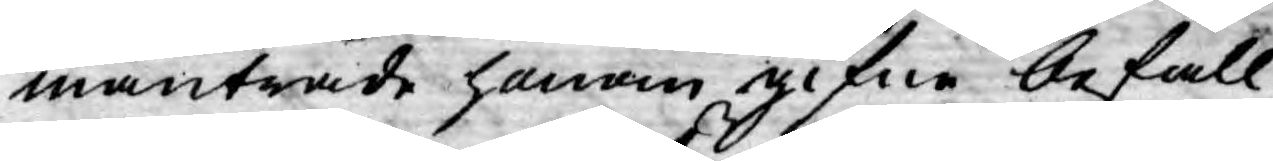manträde honom gifne befall¬
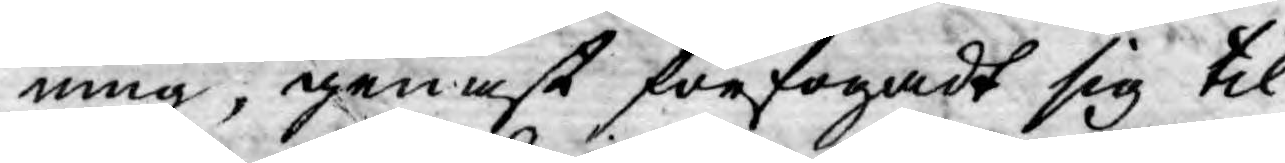ning, genast förfogadt sig til
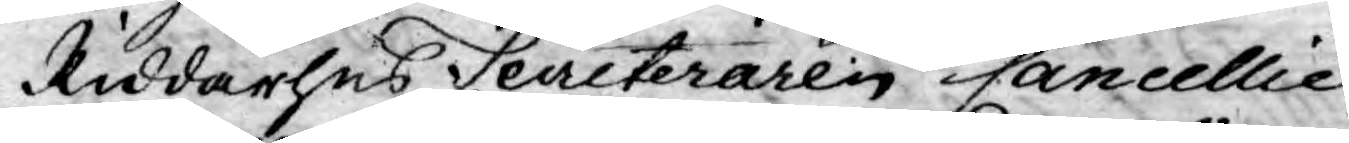Riddarhus Seceteraren Cancellie
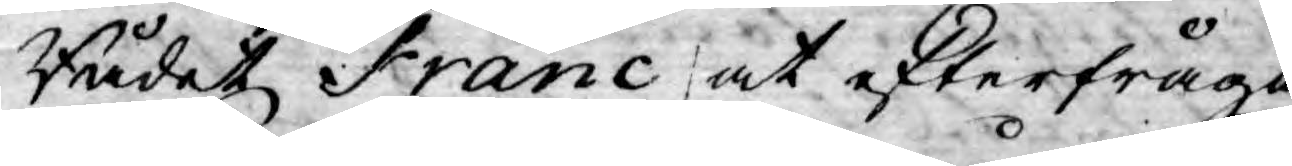Rådet Franc at efterfråga
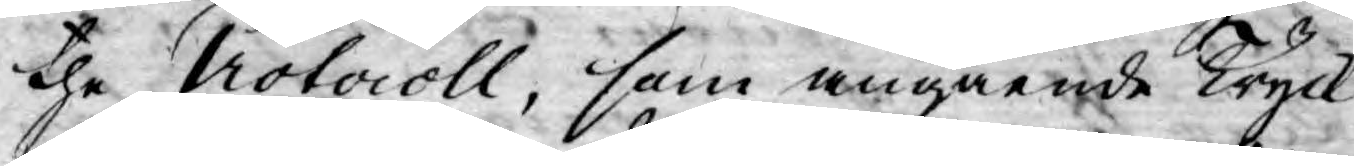the Potocoll, som angående Tryck¬
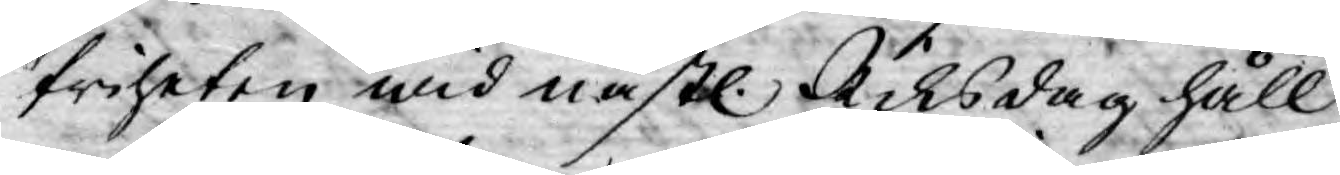friheten wid nästl. Riksdag håll¬
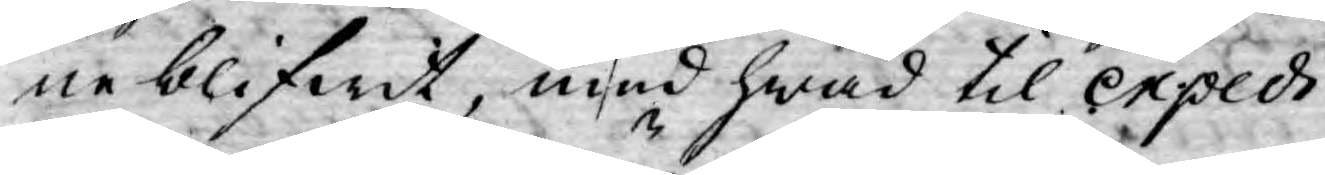ne blifwit, med hwad til Expedi¬
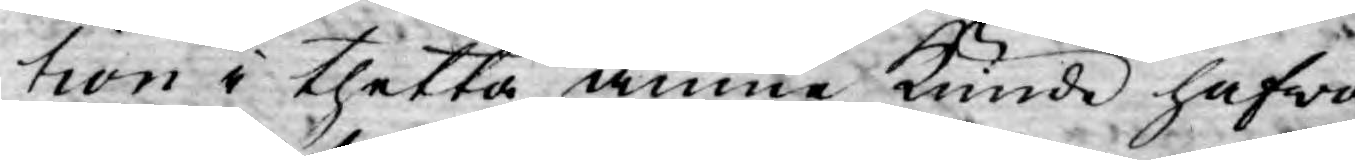tion i thetta ämne kunde hafwa
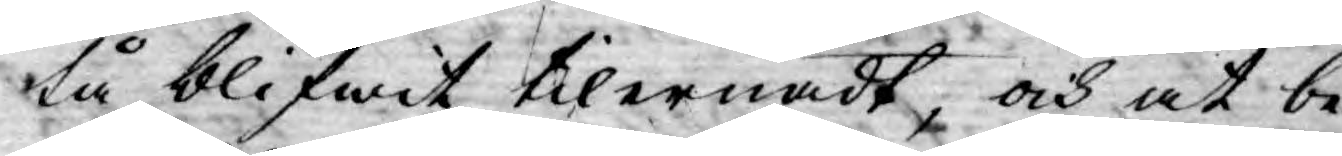tå blifwit tilernadt, och at be¬
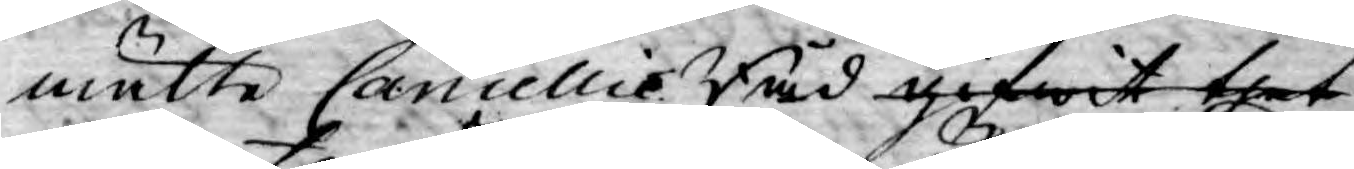mälte Cancellie Råd gifwit thet
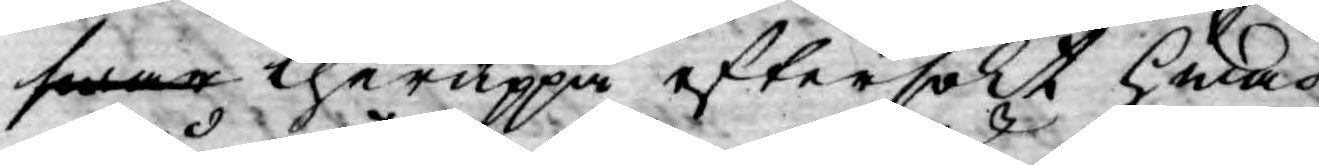swar theruppå eftersökt hwad
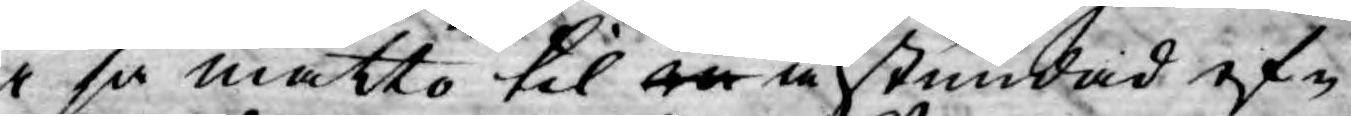i så måtto til en nu stundad ef-
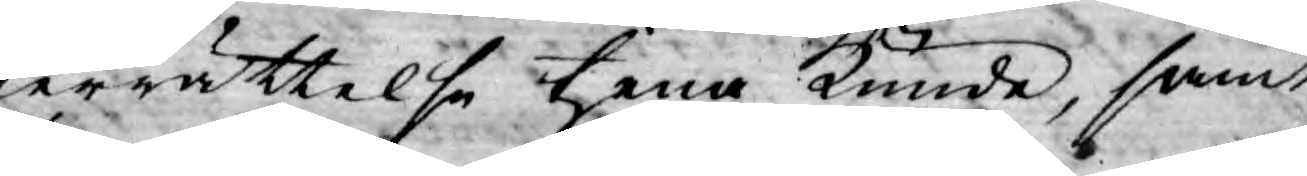terrättelse tjena Kunde, samt
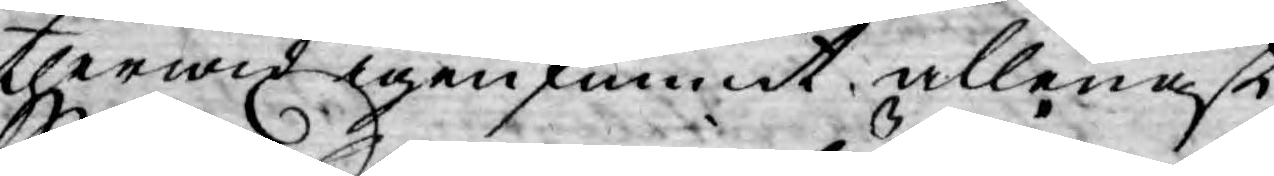therwid igen funnit allenast
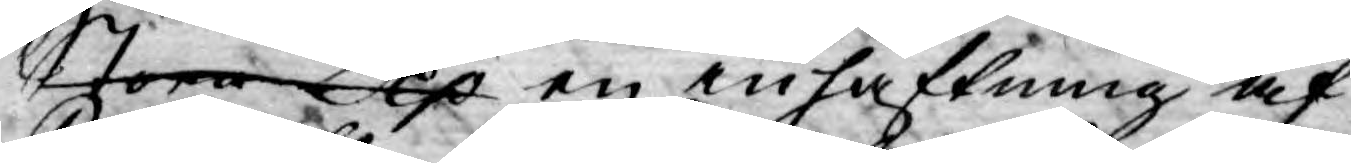Stora Dep en inhäftning af
